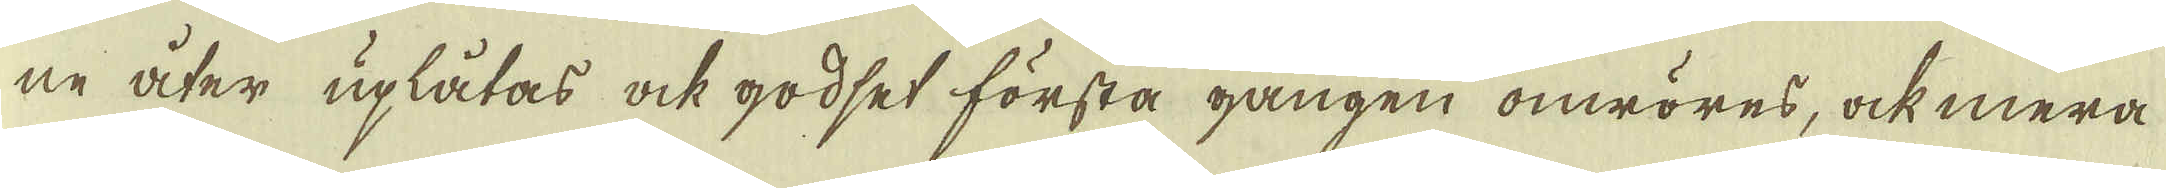ne åter uplåtas ock godset första gången omröres, ock mera
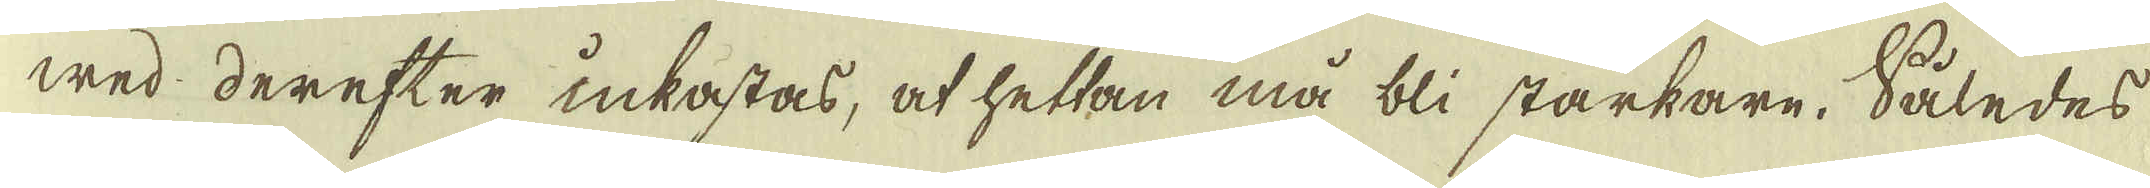wed derefter inkastas, at hettan må bli starkare. Således
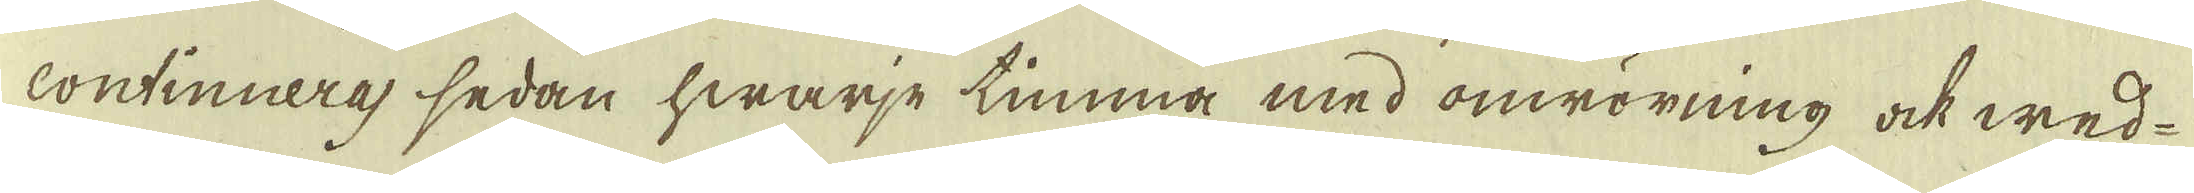continueras, sedan hwarje timma med omrörning ock wed-
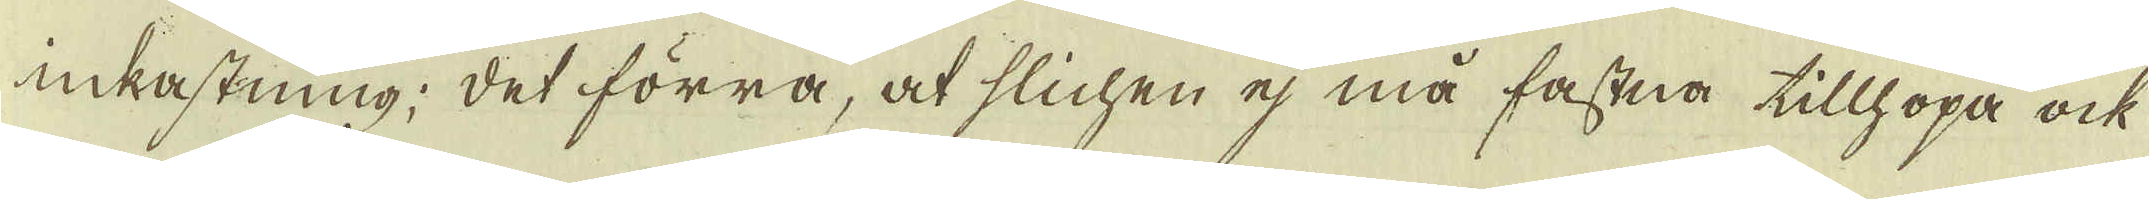inkastning; det förra, at slichen ej må fastna tillhopa ock
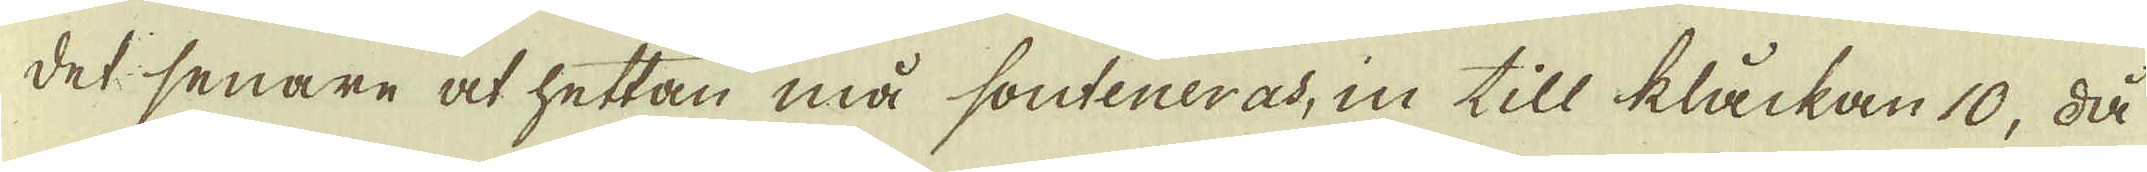det senare at hettan må souteneras, in till kåckan 10, då
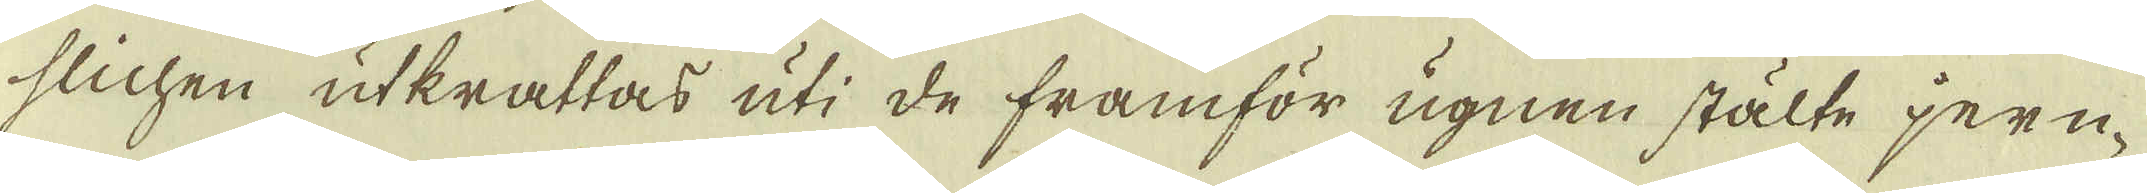slichen utkrattas uti de framför ugnen stälte jern-
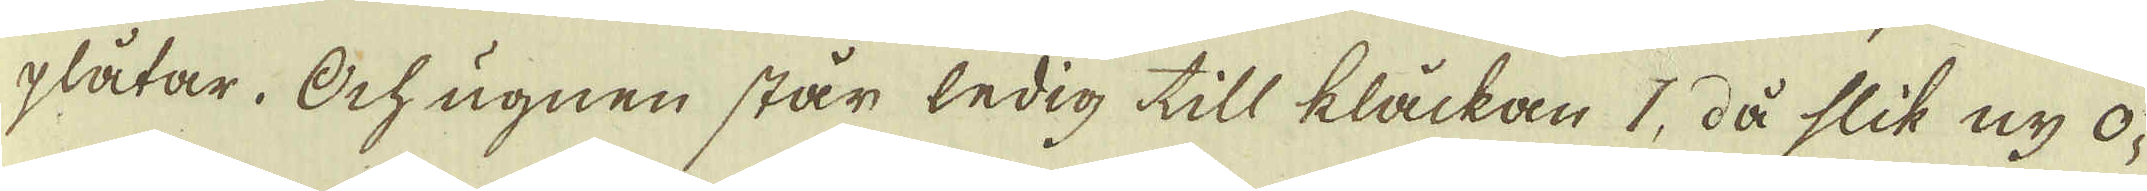plåtar. Och ugnen står ledig till klåckan 1, då slik ny o-
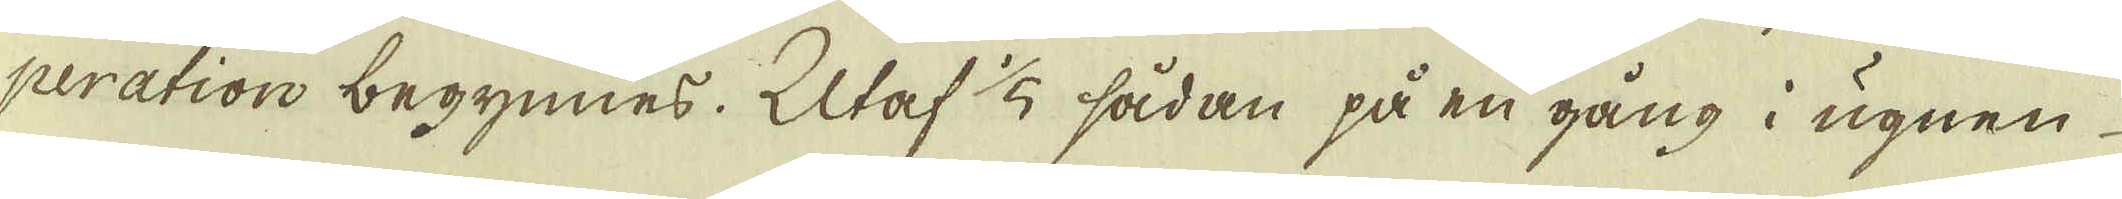peration begynnes. Utaf 1/5 sådan på en gång i ugnen
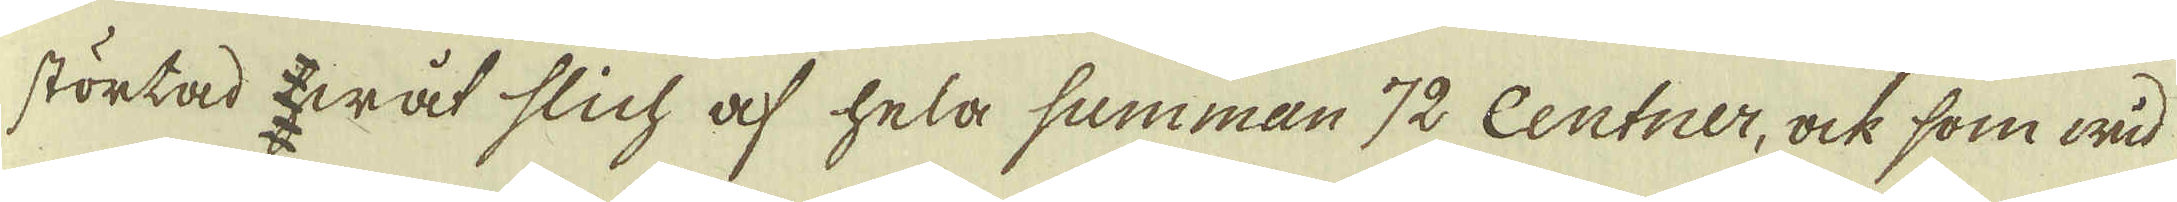störtad wåt slich af hela summan 72 Centner, ock som wid
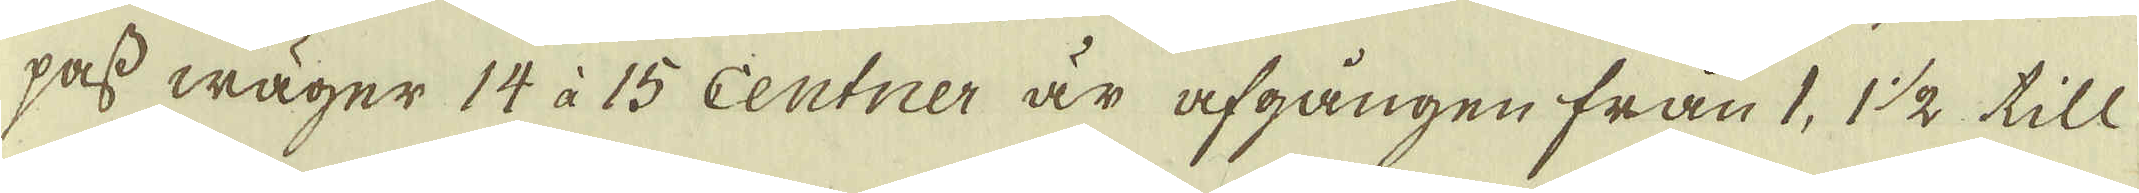pass wäger 14 à 15 centner är afgången från 1, 1 1/2 till
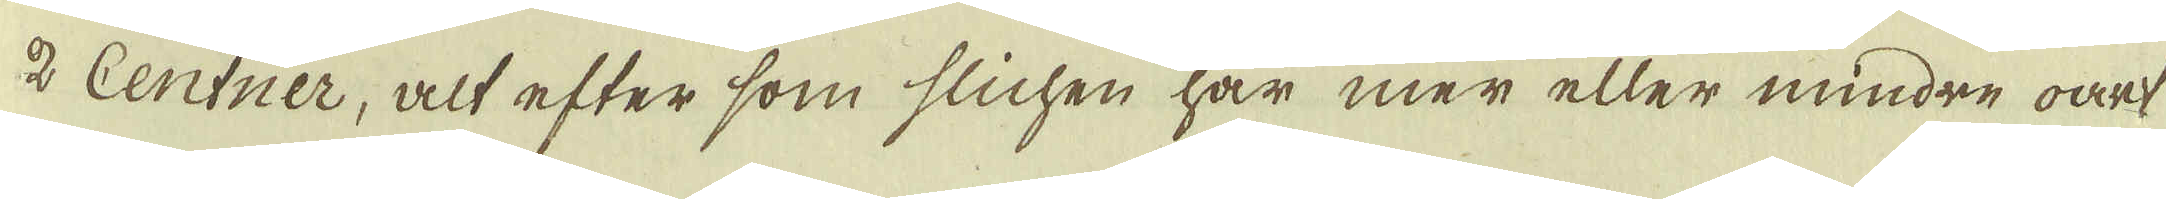2 Centner, alt efter som slichen har mer eller mindre oart
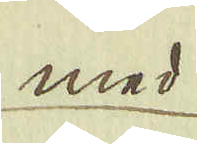med
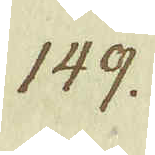149.
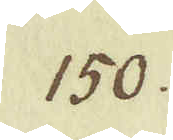150.
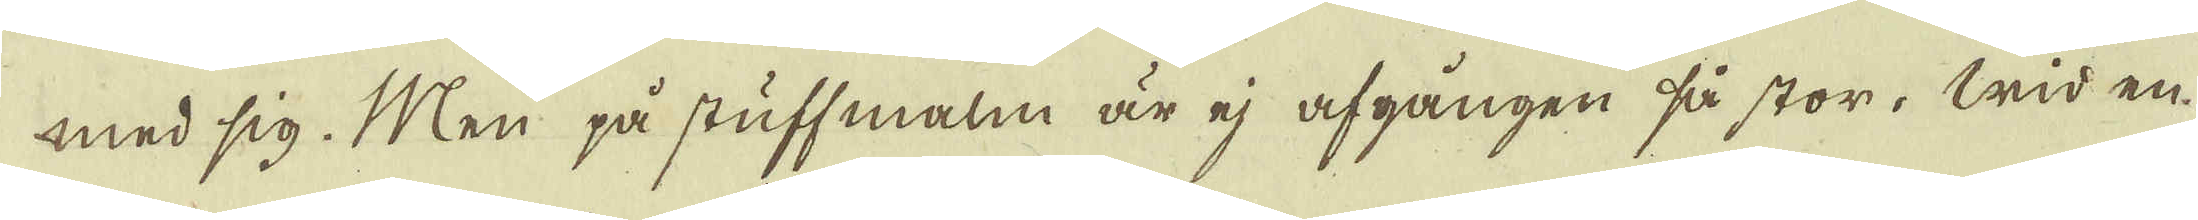med sig. Men på stuff malm är ej afgången så stor. Wid en
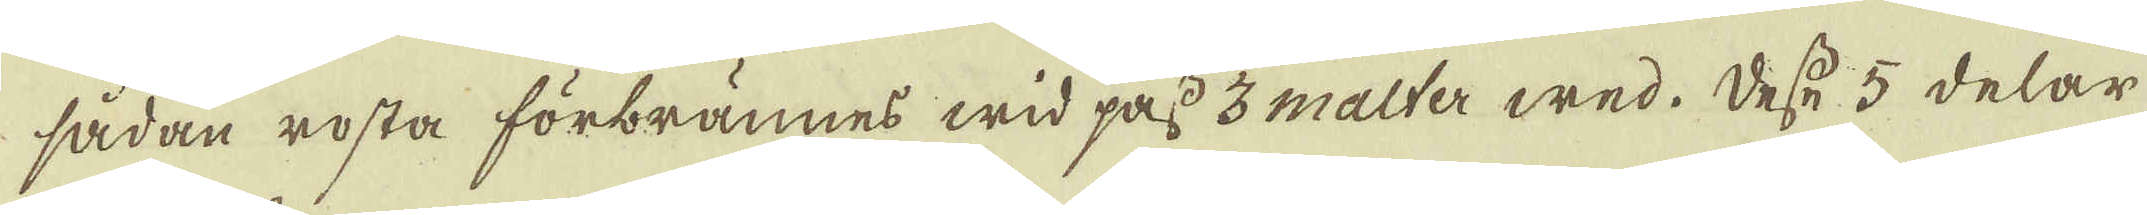sådan rosta förbrännes wid pass 3 malter wed. Desse 5 delar
